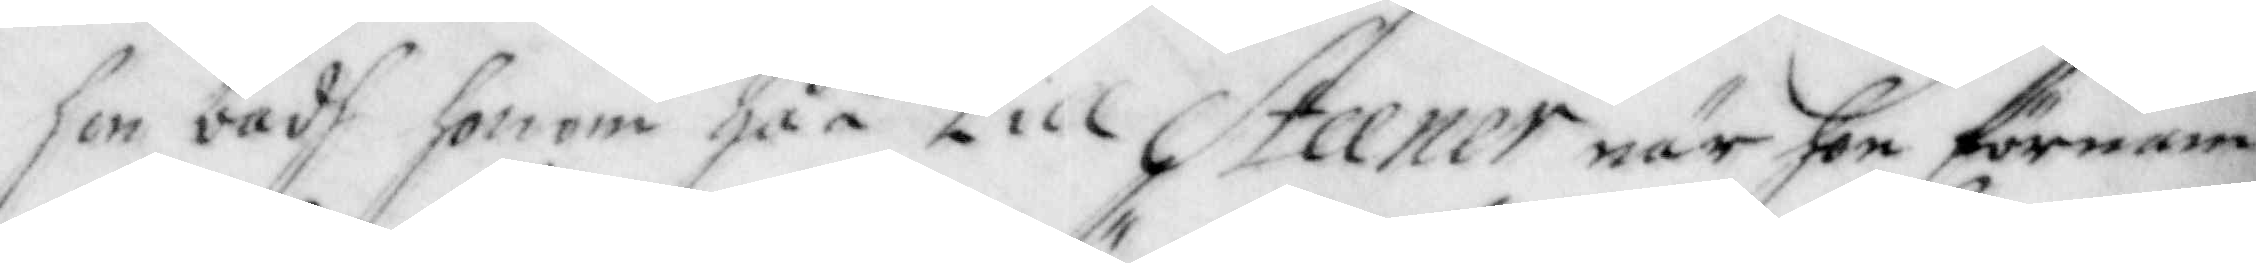hon badh honom gåå till Steener när hon förnam
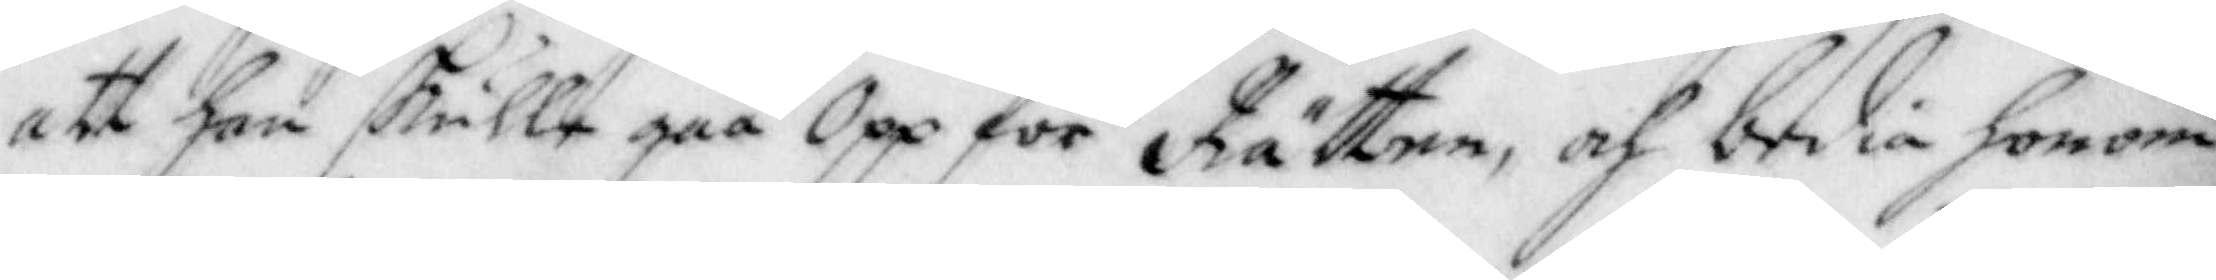att han skulle gåå Opp för Rätten, och bedia honom
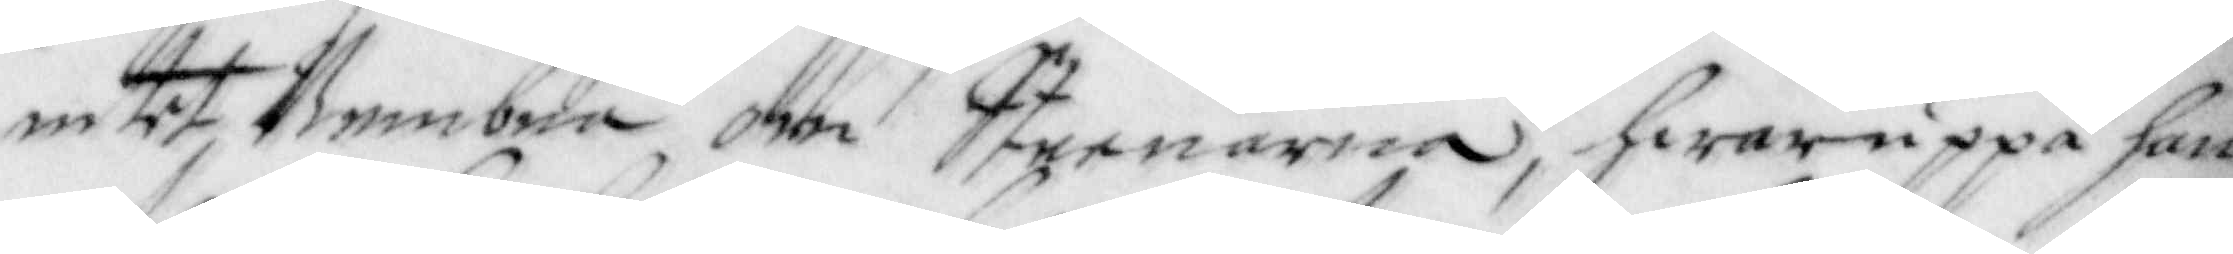intet Nembna om Steenarna, hwar uppå han
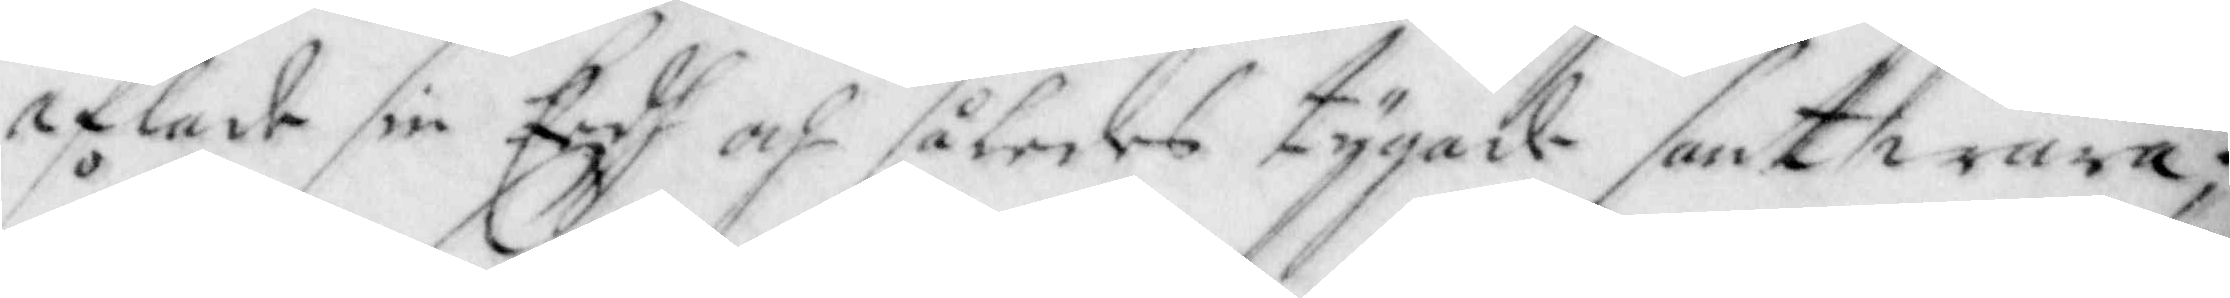aflade sin Eedh och således tygade sant wara;
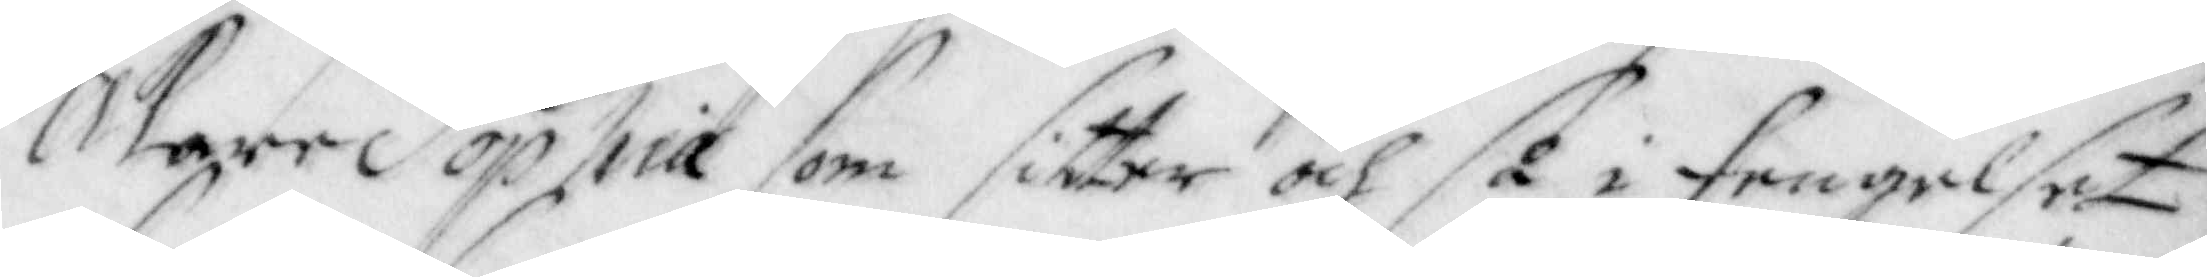Åkare Sophia som sitter och så i Fengelset
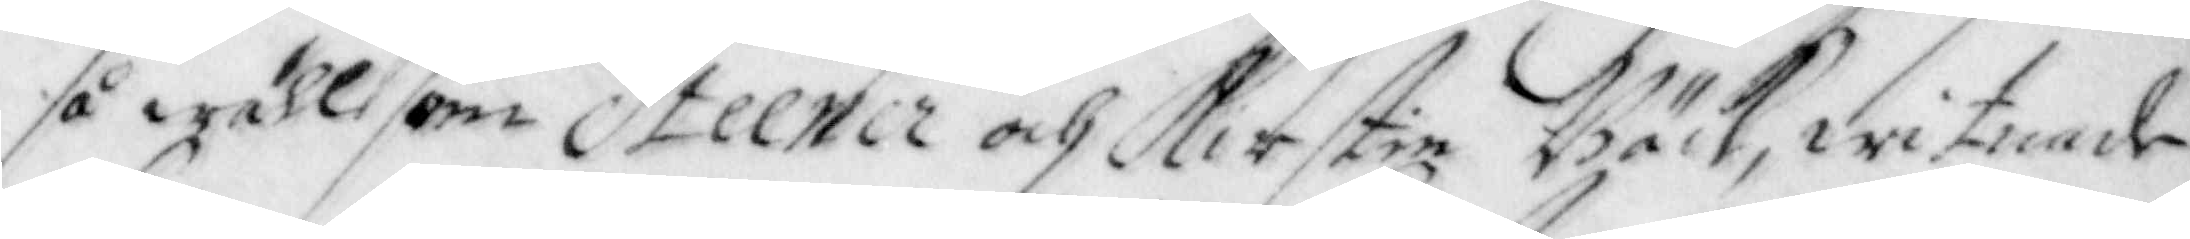så wähl som Steener och Kirstin Bäck, witnade
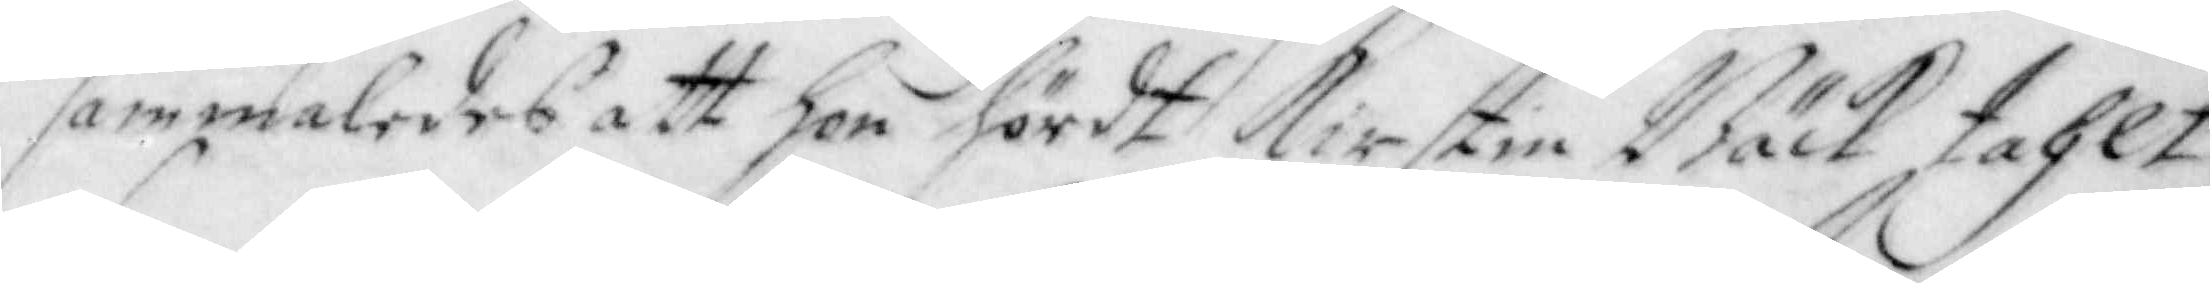sammaledes att hon hördt Kirstin Bäck tahlt
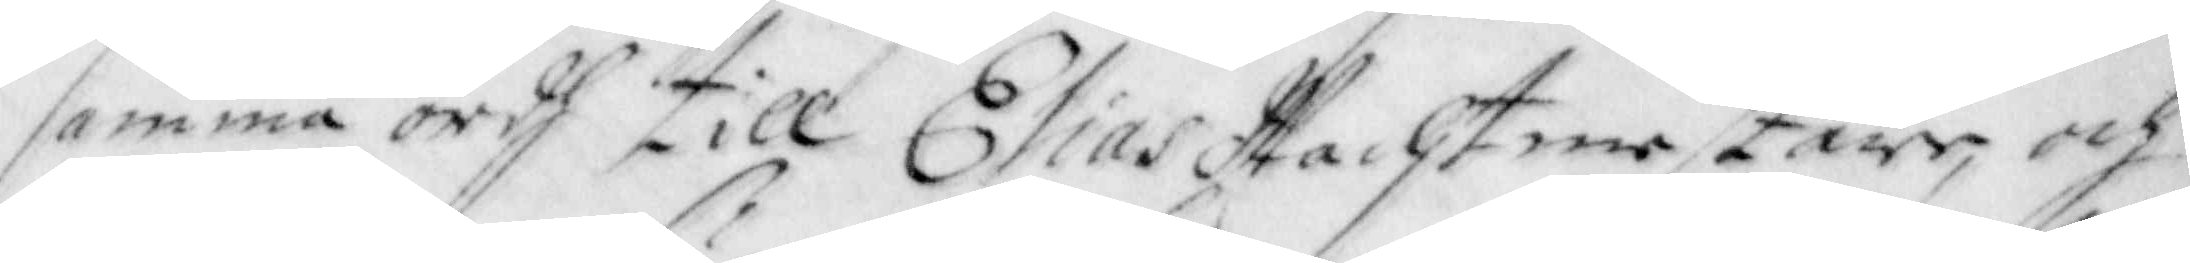samma ordh till Elias Wachtmestare, och
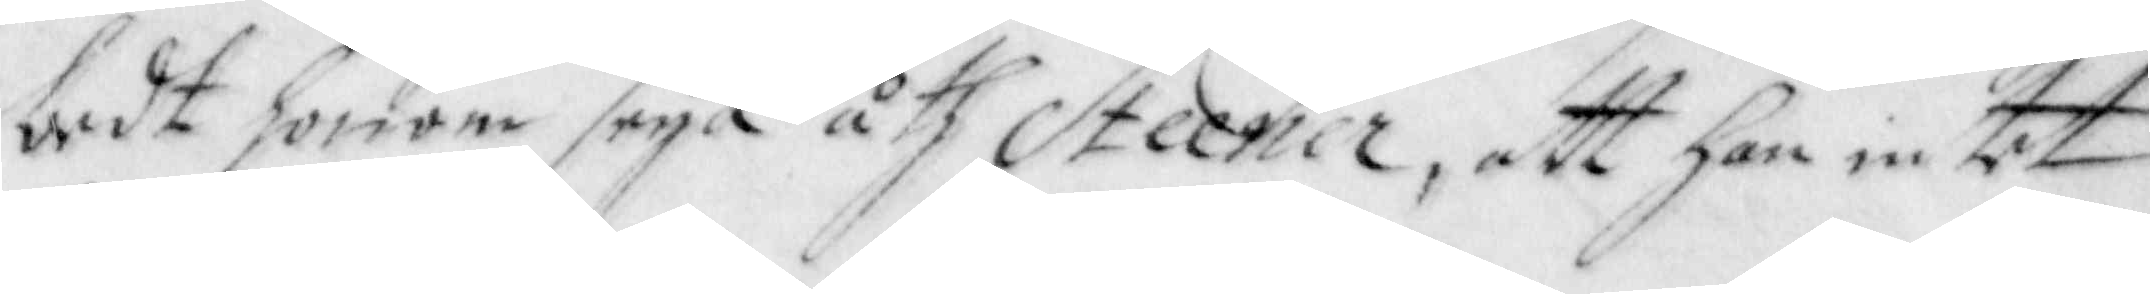bedt honom seya åth Steener, att han intet
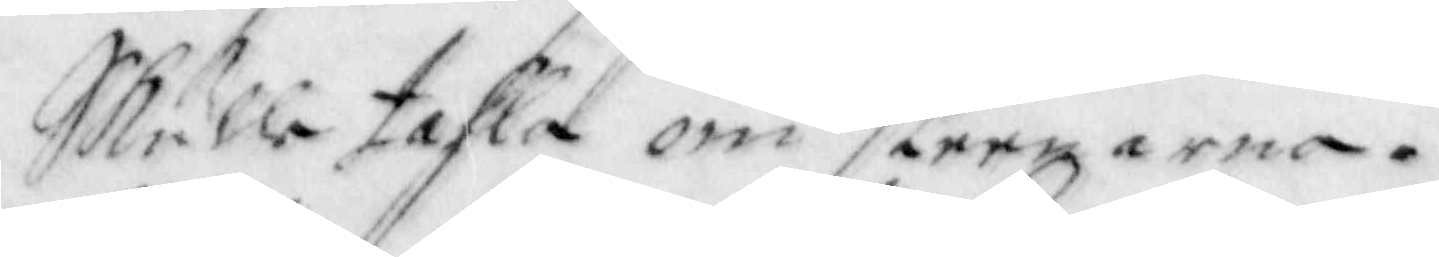Skulle tahla om steenarna.
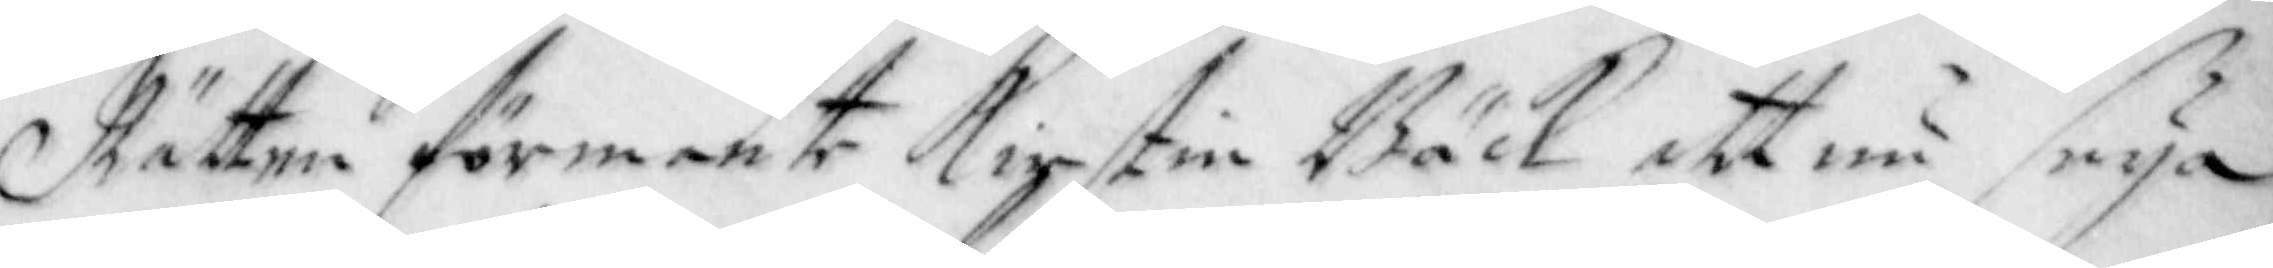Rätten förmante Kirstin Bäck att nu seya
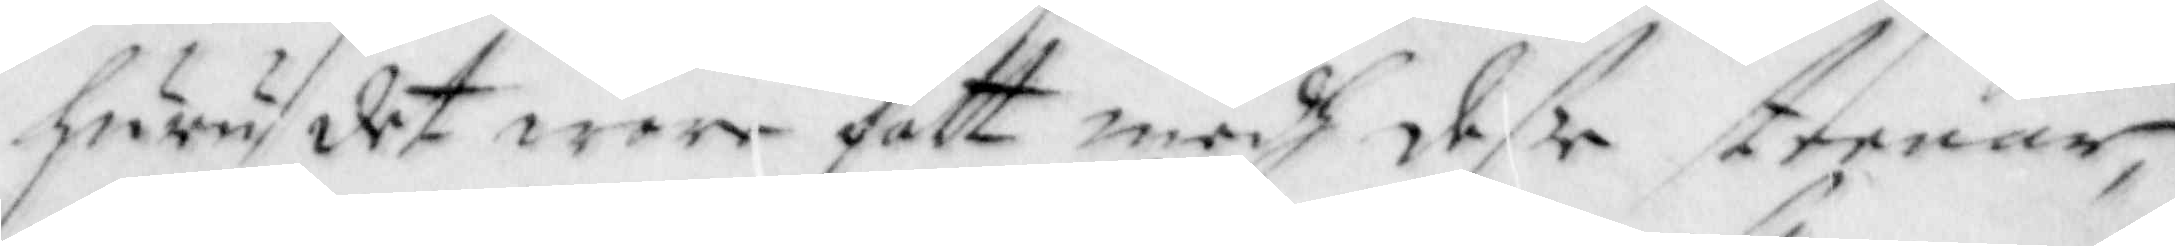huru det wore fatt medh deße steenar,
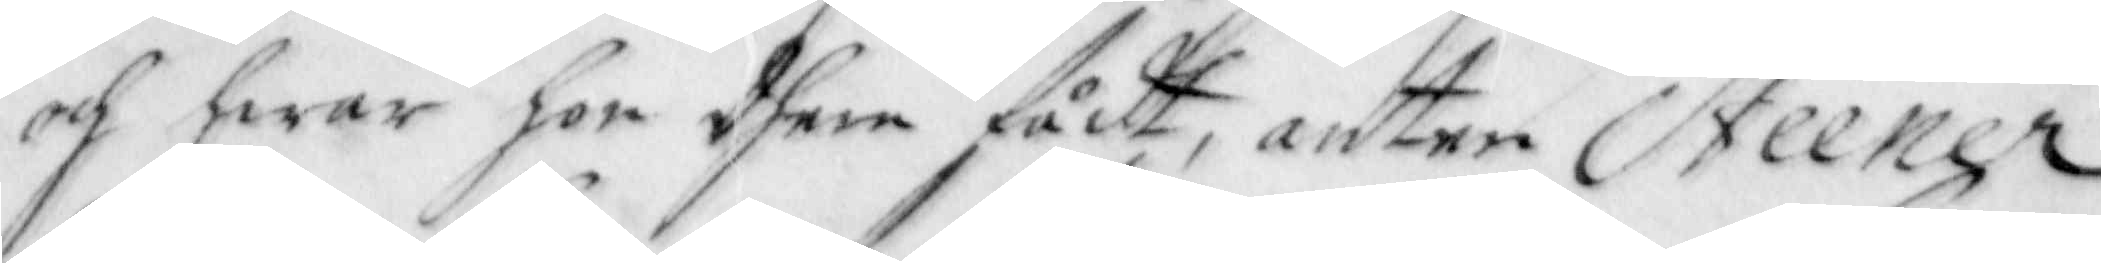och hwar hon dhem fådt, anten Steener
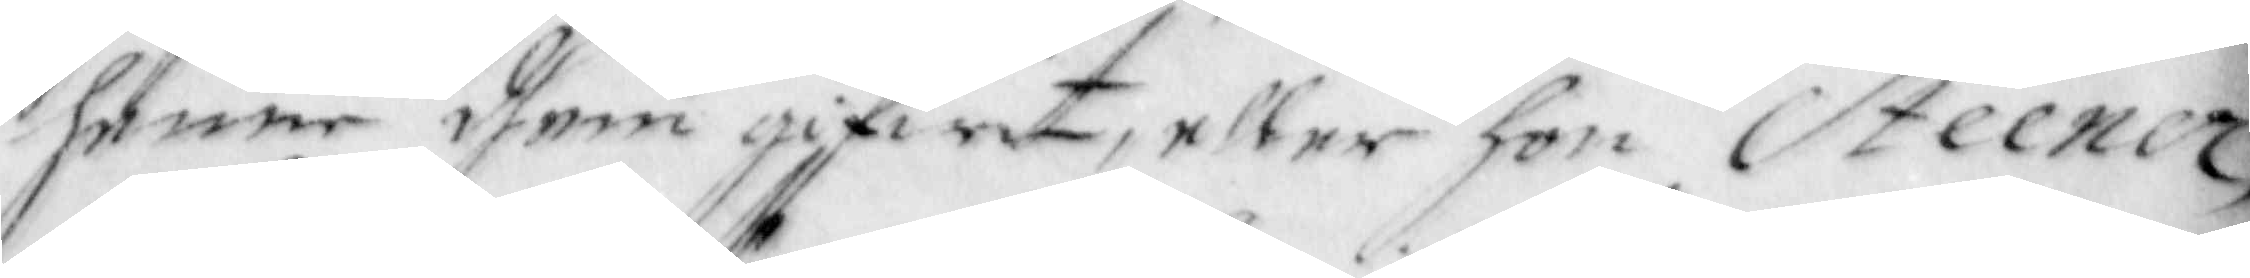henne dhem gifwit, eller hon Steener;
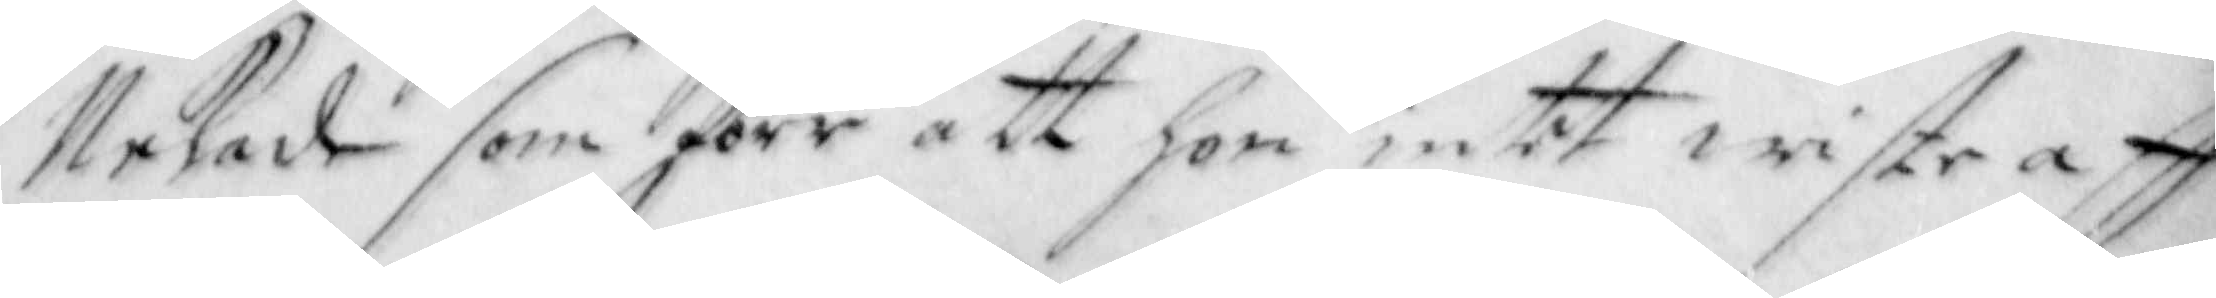Nekade som förr att hon intet wiste aff
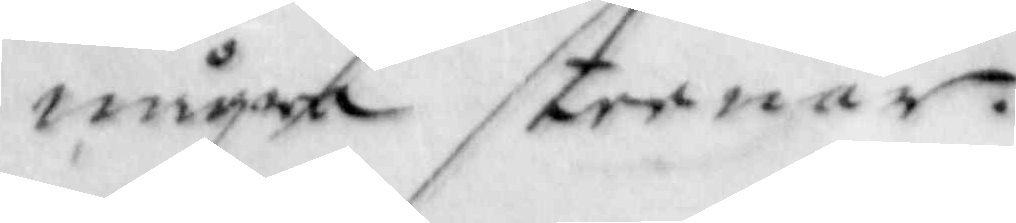några steenar.
